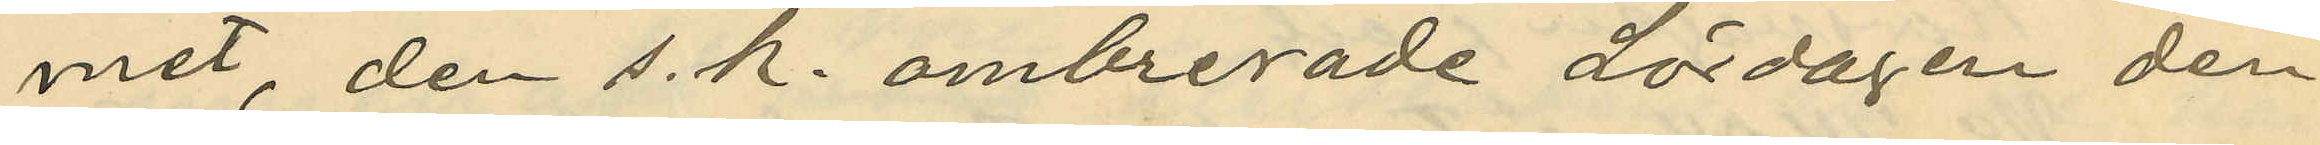met, den s. k. ombrerade Lördagen den
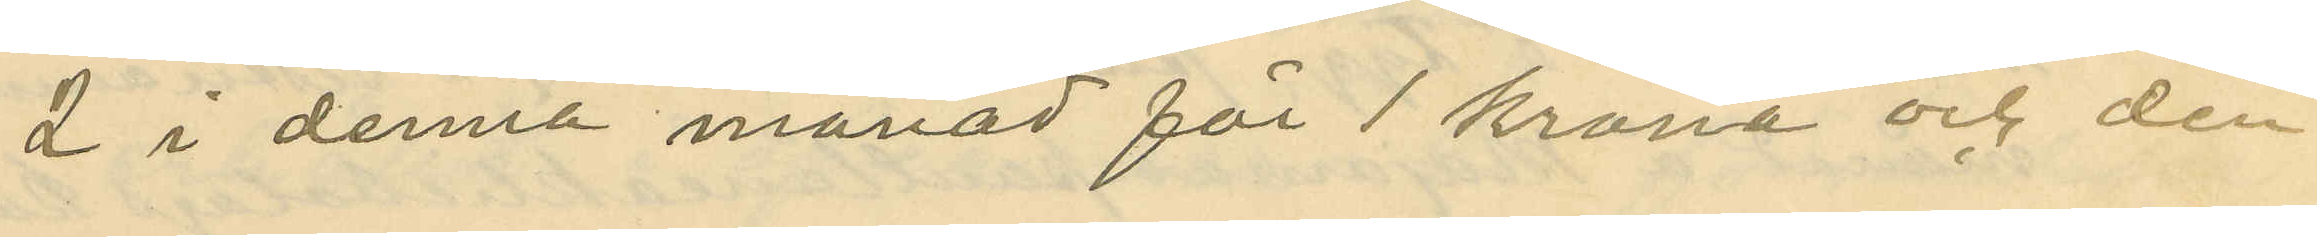2 i denna månad för 1 krona och den
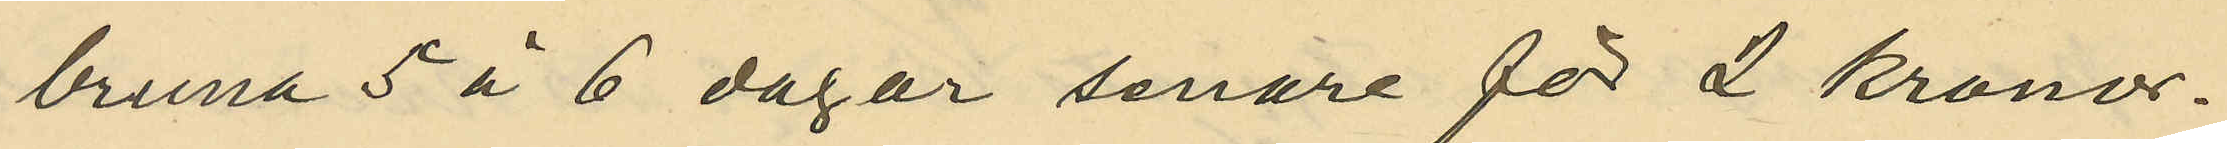bruna 5 à 6 dagar senare för 2 kronor.
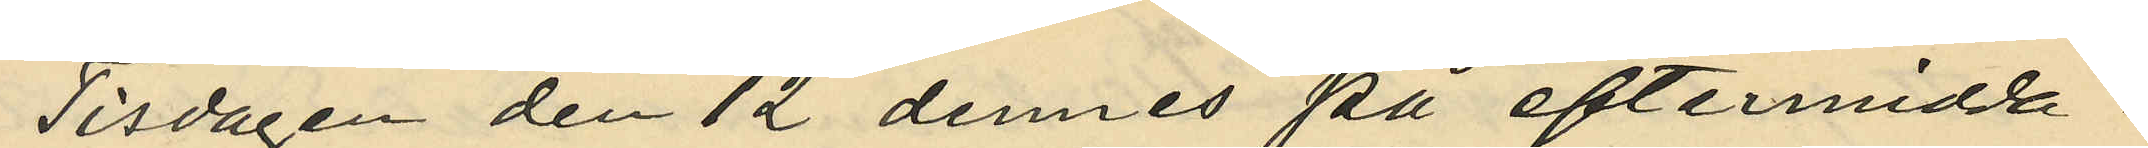Tisdagen den 12 dennes på eftermidda¬
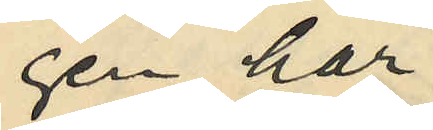gen har
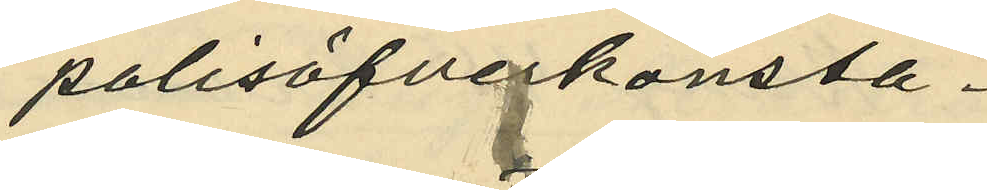polisöfverkonsta¬
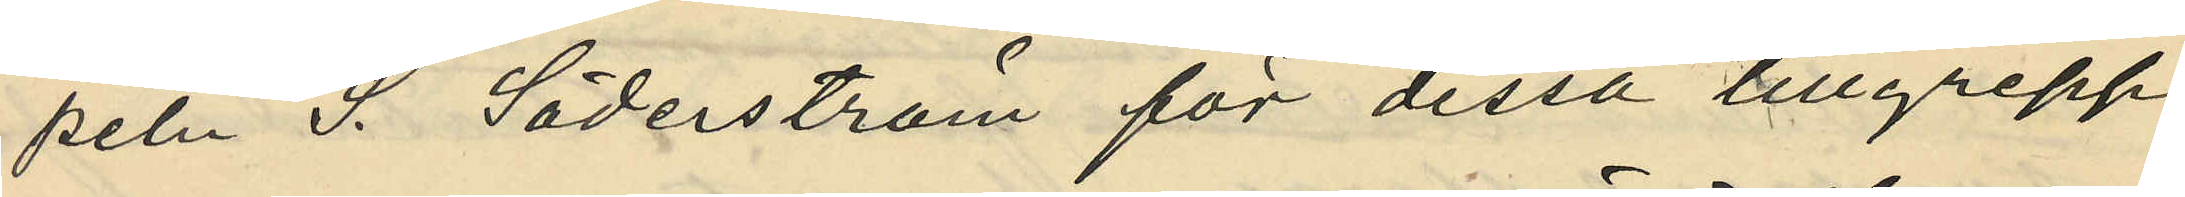peln S. Söderström för dessa tillgrepp
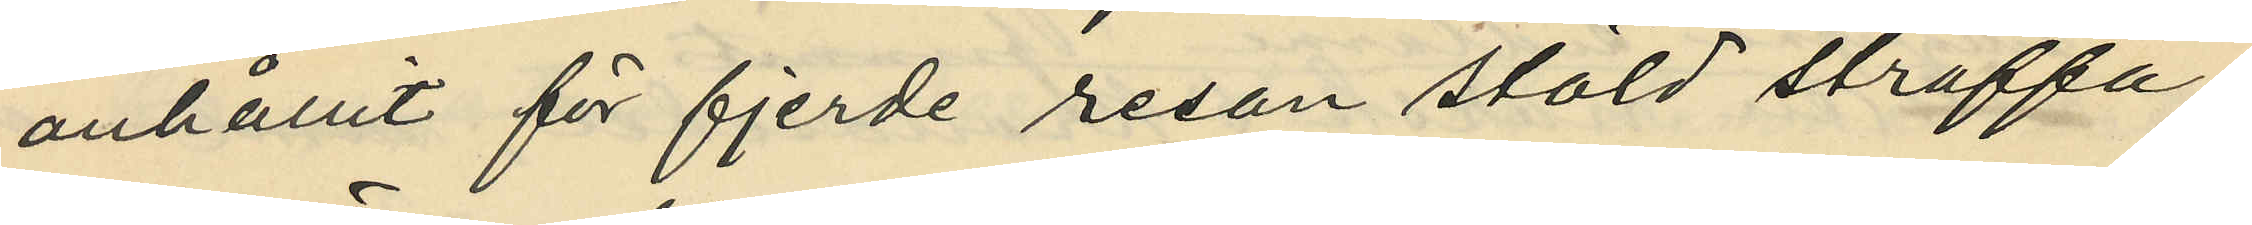anhållit för fjerde resan stöld straffa¬
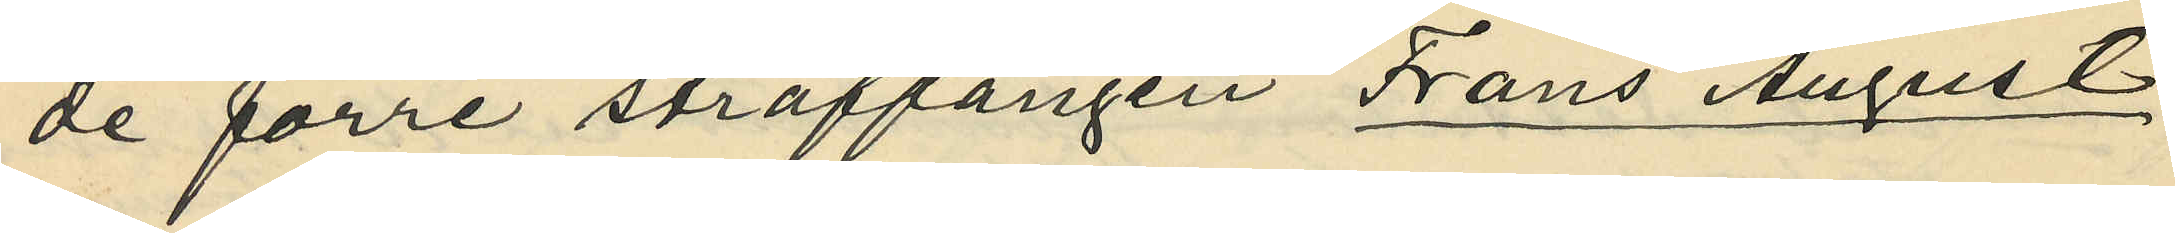de förre straffången Frans August
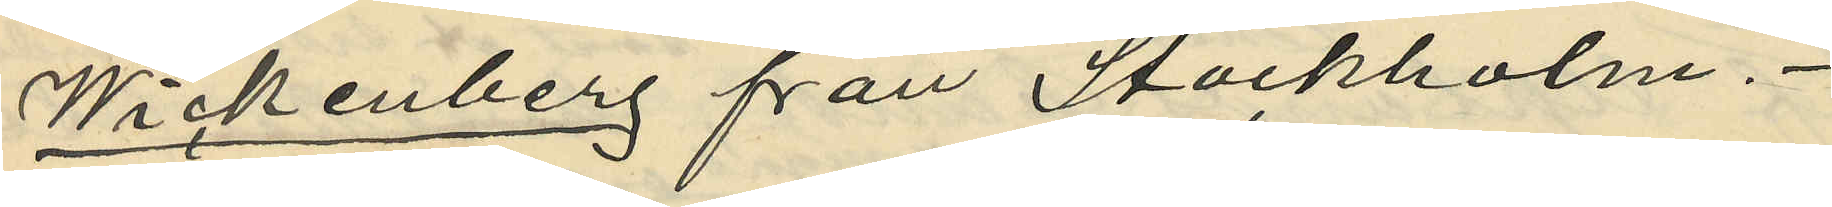Wickenberg från Stockholm.
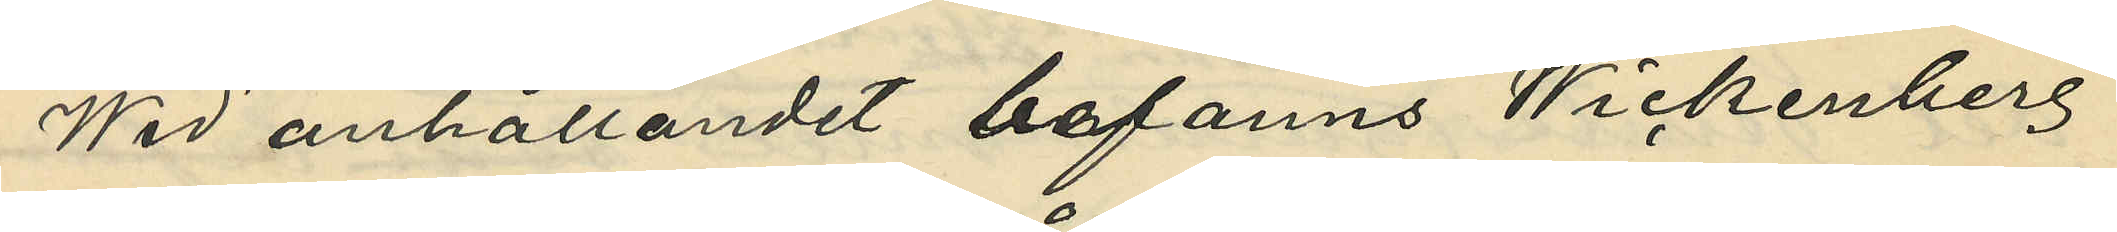Wid anhållandet befanns Wickenberg
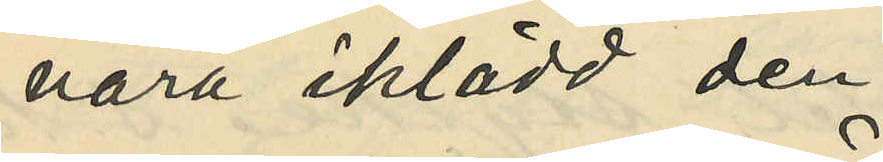vara iklädd den
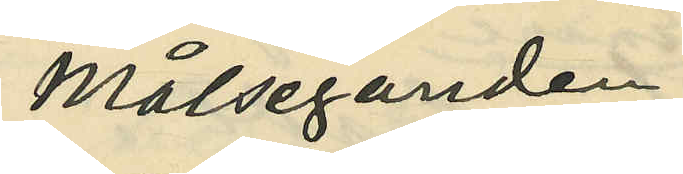Målseganden
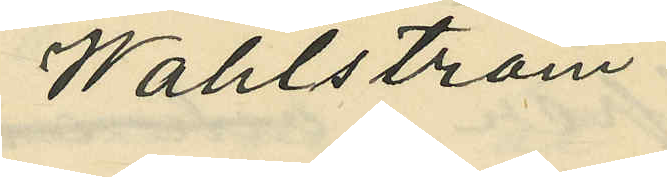Wahlström
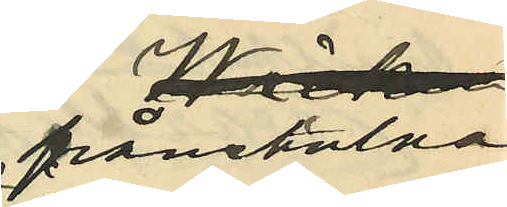frånstulna
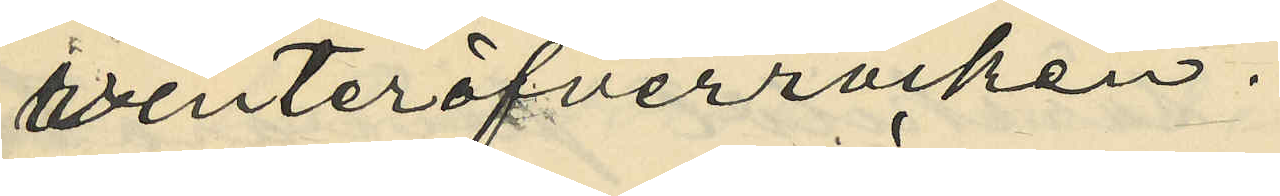vinteröfverrocken.
